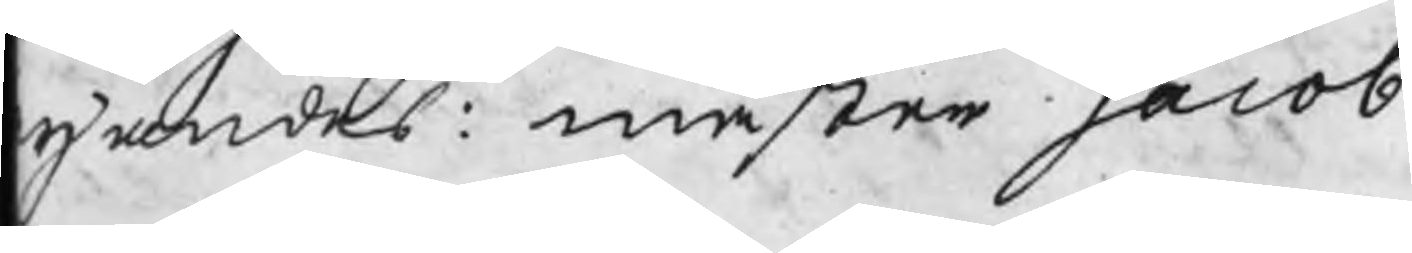gandes: mäster Jacob
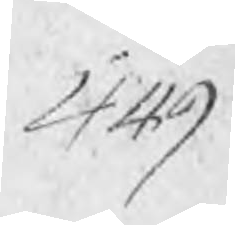449
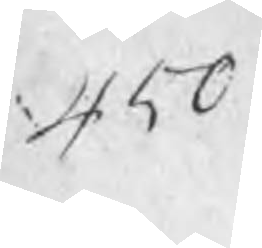450
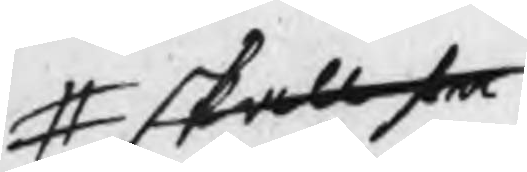# skall se
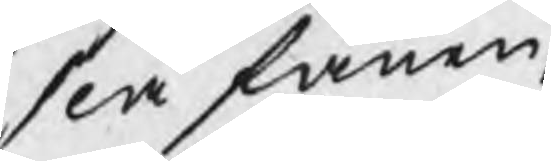slå fanen
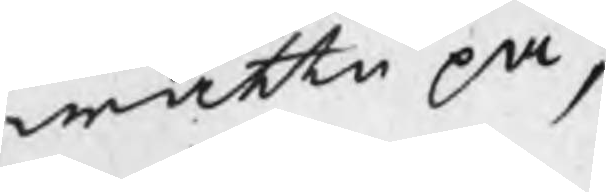wattn på,
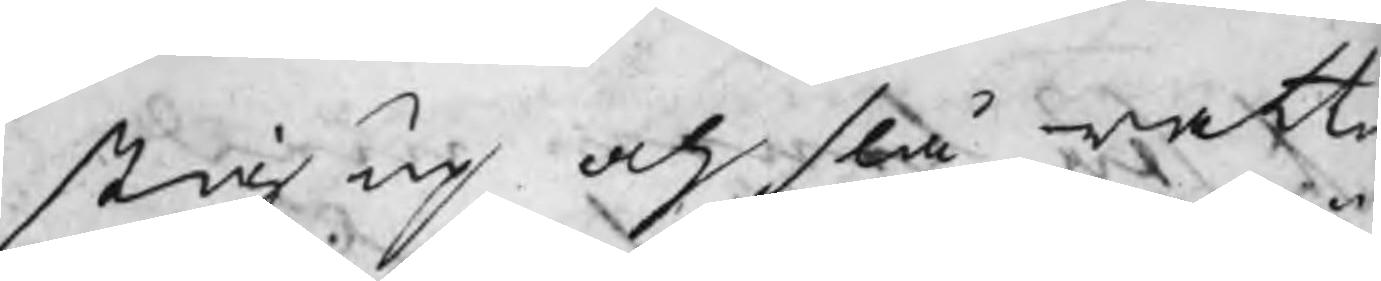stig up och slå wattn
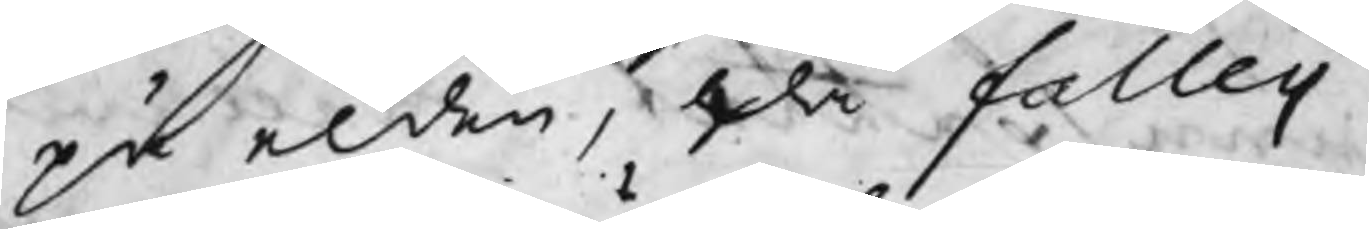på elden, då falleij
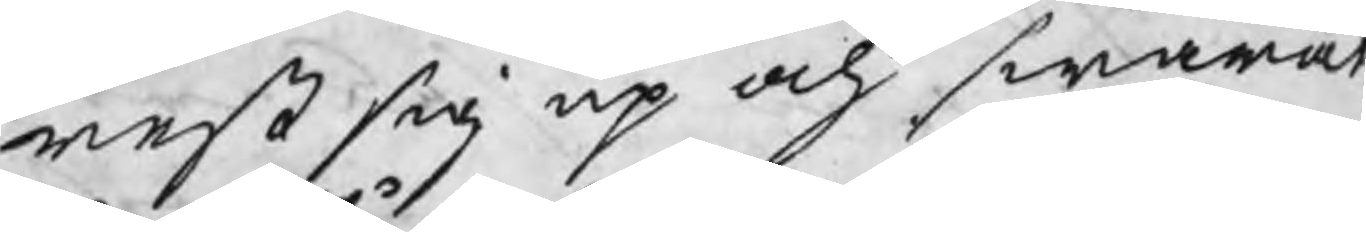rest sig up och swarat
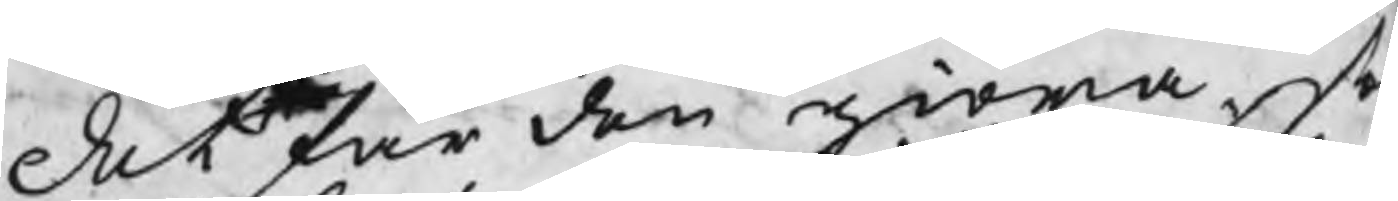det frå den giöra, so
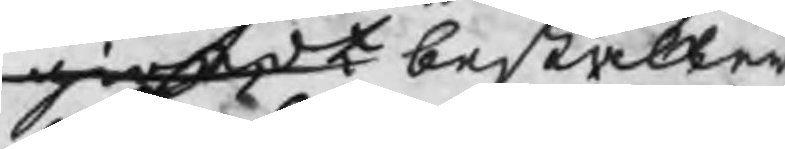giordt beställer
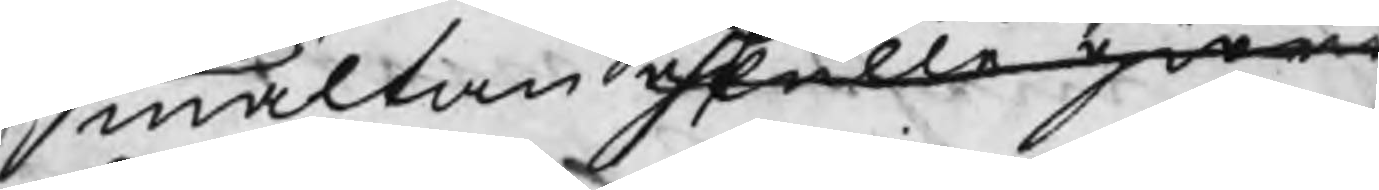smältan skulle giöra
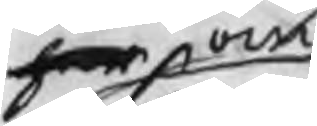har om 
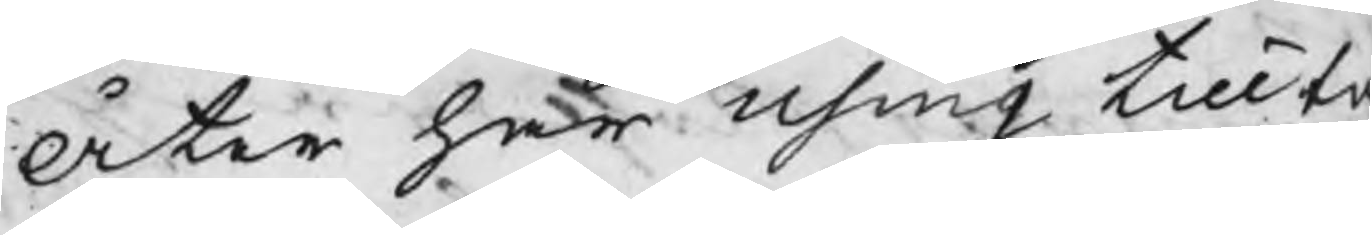Åter har Using tillta
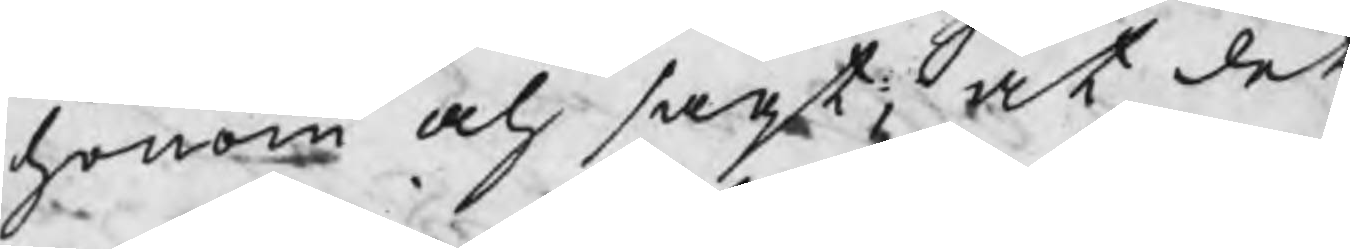honom och sagt at det
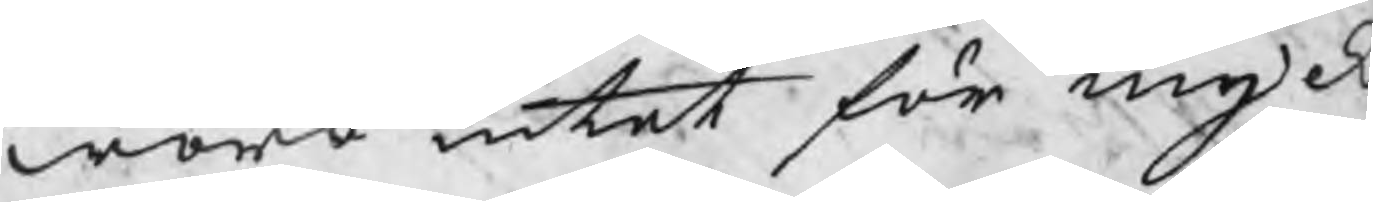woro intet för myck
